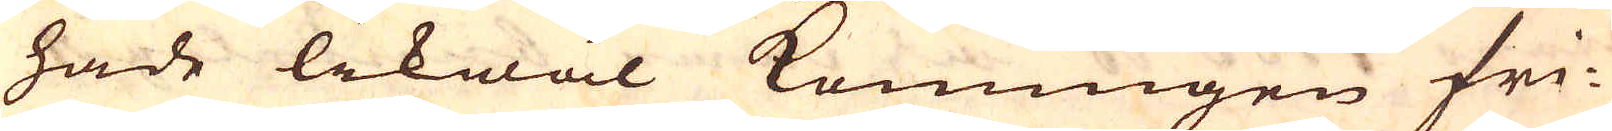hade likwäl Konungen fri-
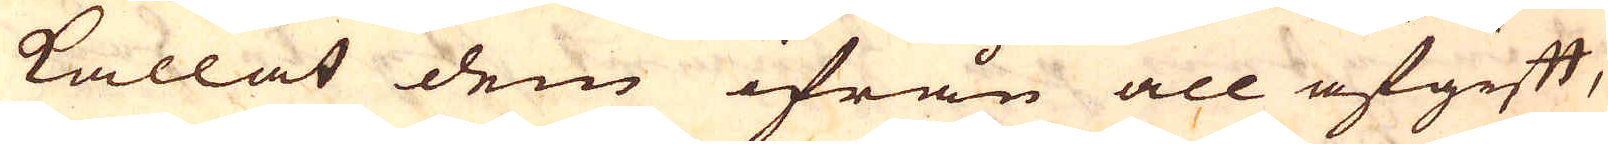kallat dem ifrån all afgift,
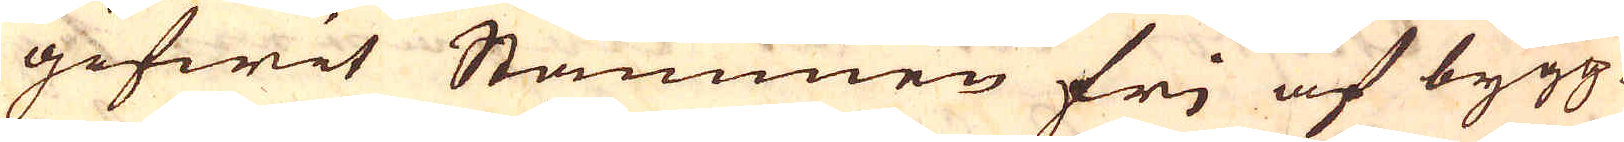gifwit Stammen fri af bygg-
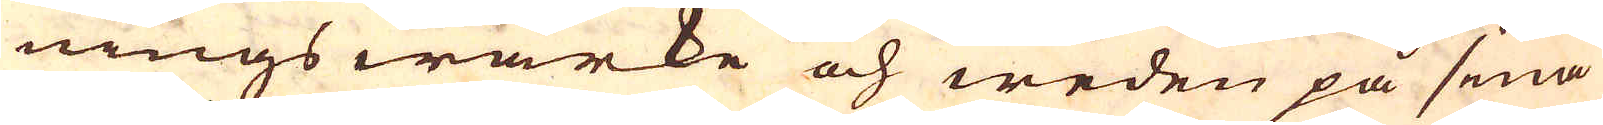nings wärke och weden på sina
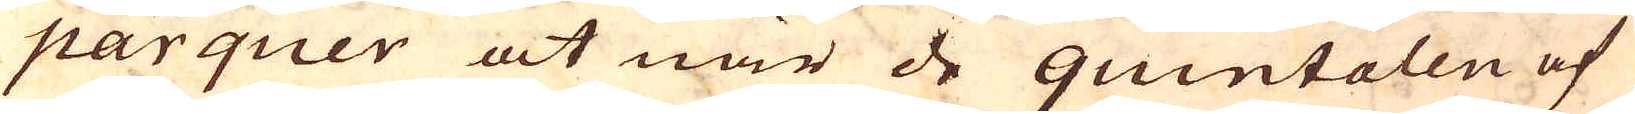parquer at när de quintalen af
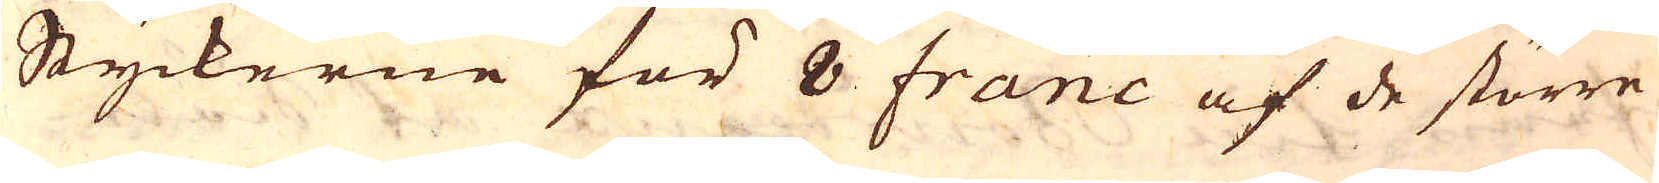Styckerne för 8 franc af de större
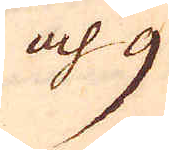och 9
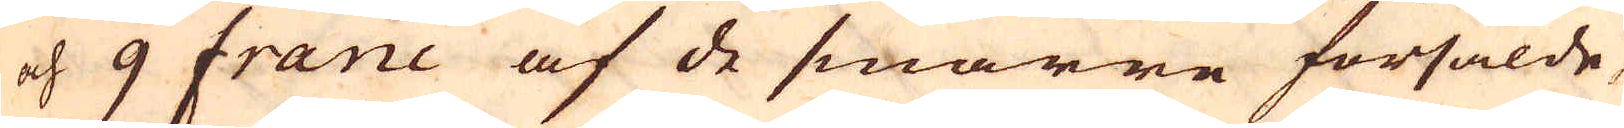och 9 franc af de smärre försålde,
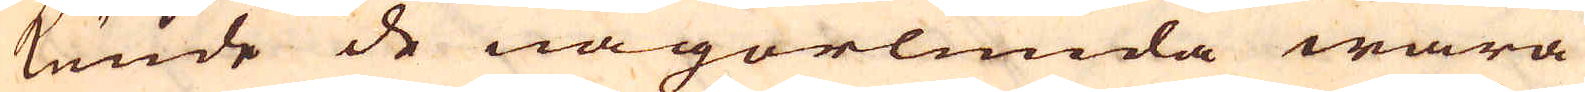kunde de någorlunda wara
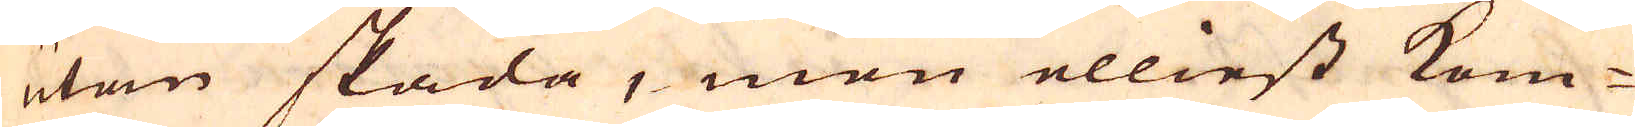utan skada, men elliest kom-
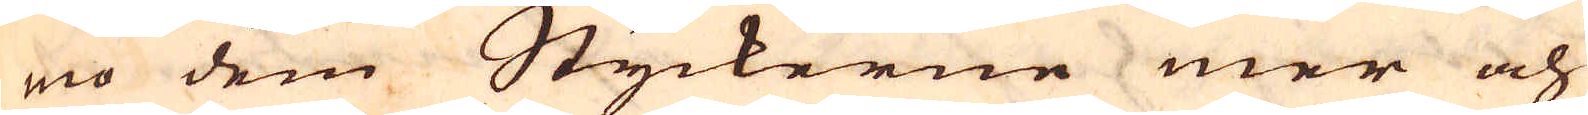mo dem Styckerne mer och
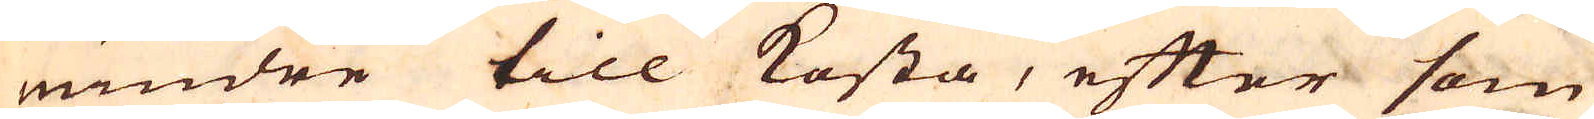windre till kosta, efter som
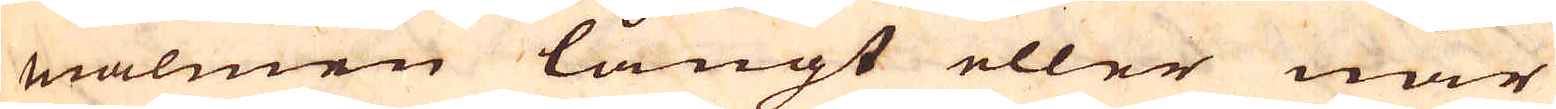malmen långt eller när
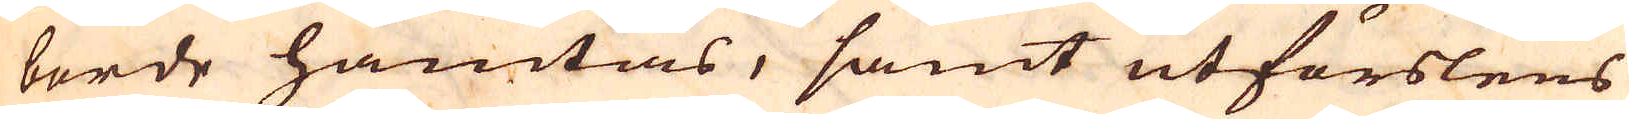borde hämtas, samt utförslens
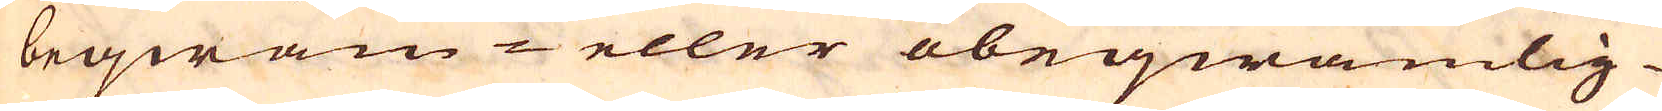beqwäm- eller obeqwämlig-
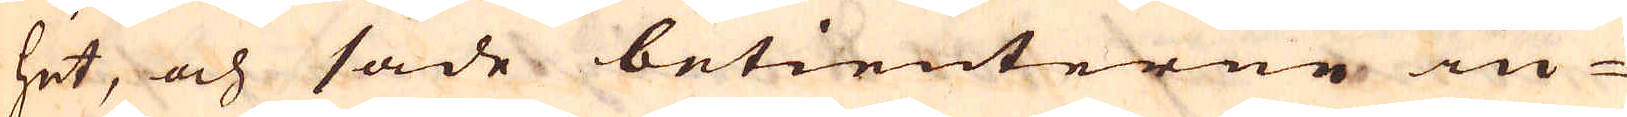het, och sade betienterne in-
